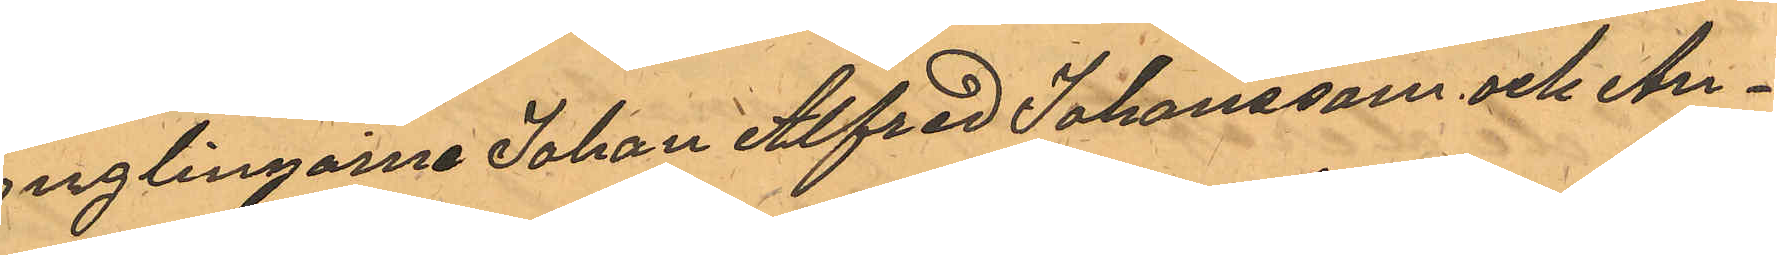ynglingarne Johan Alfred Johansson och An¬
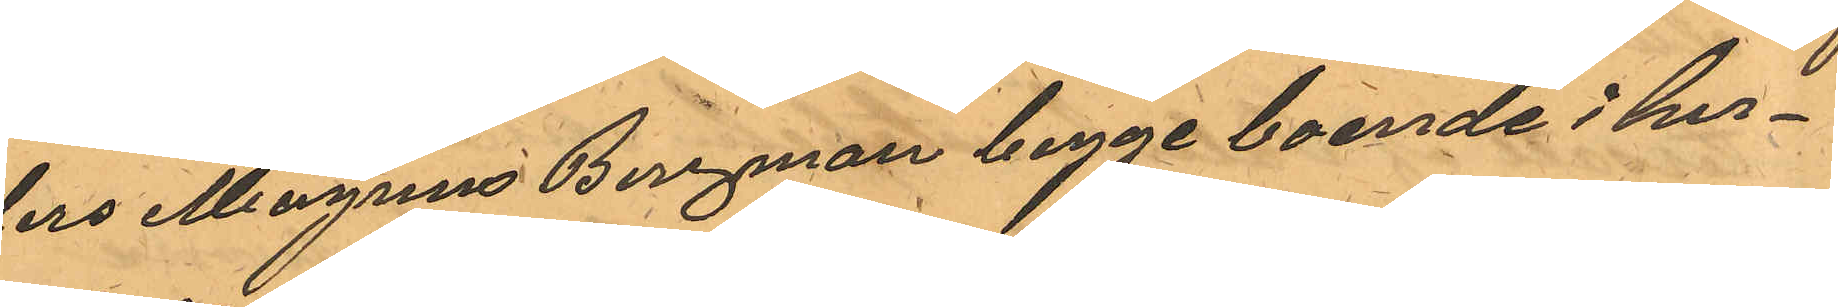ders Magnus Bergman begge boende i hus¬
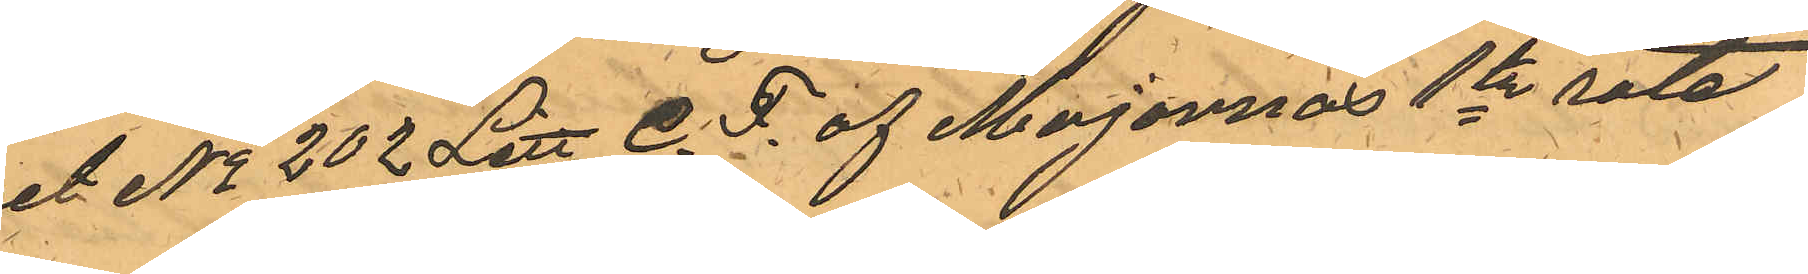set No 202 Litt C. F. af Majornas 1te rote
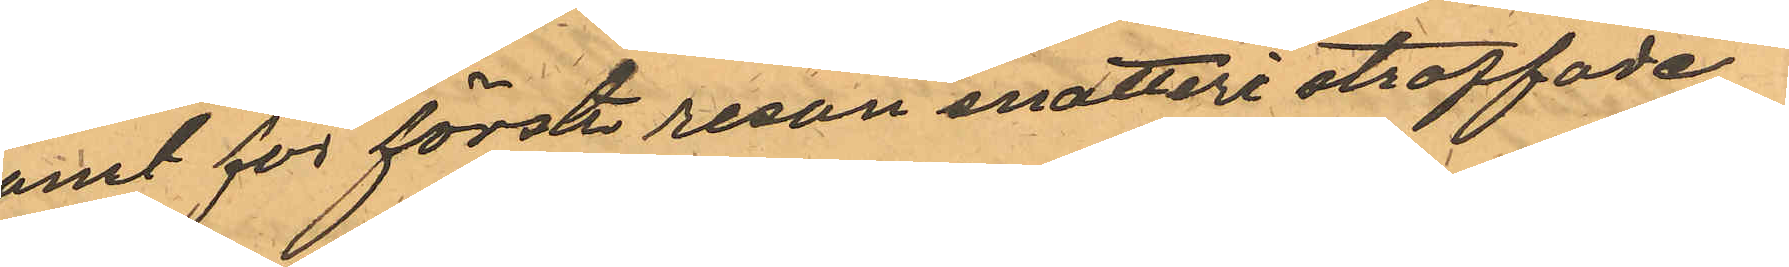samt för första resan snatteri straffade
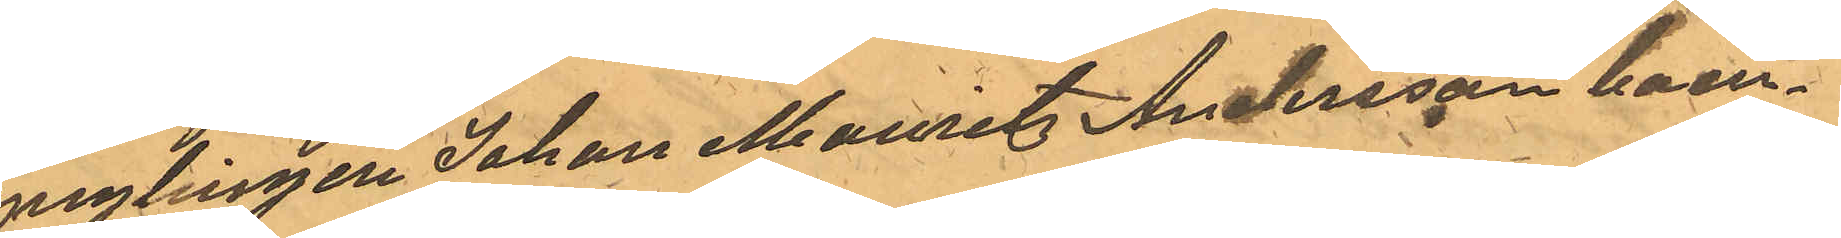ynglingen Johan Mauritz Andersson boen¬
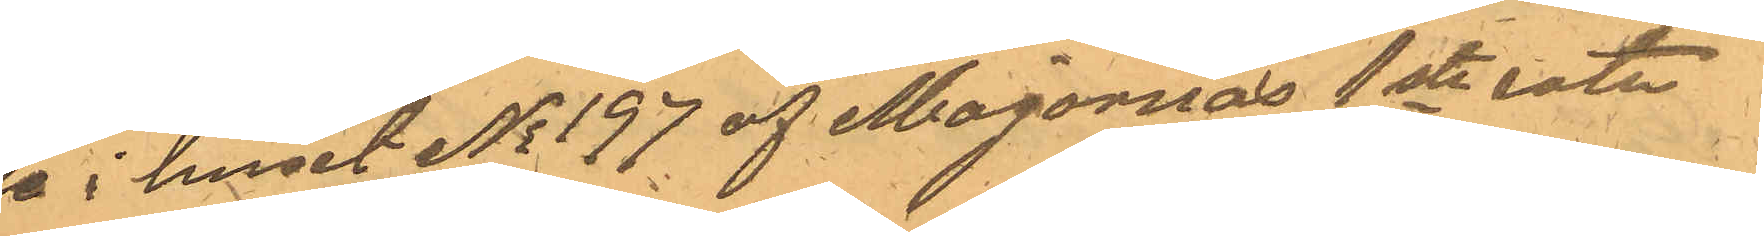de i huset No 197 af Majornas 1ste rote
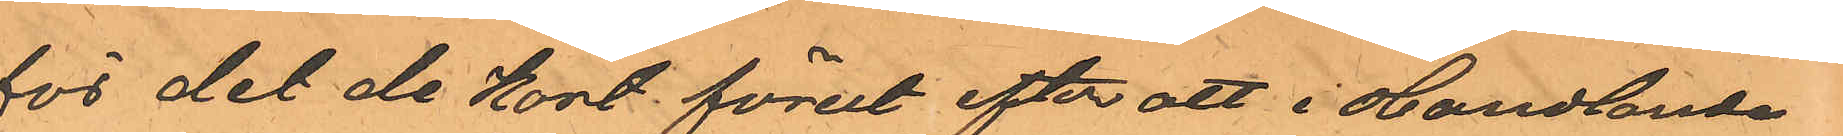för det de kort förut efter att i Handlande
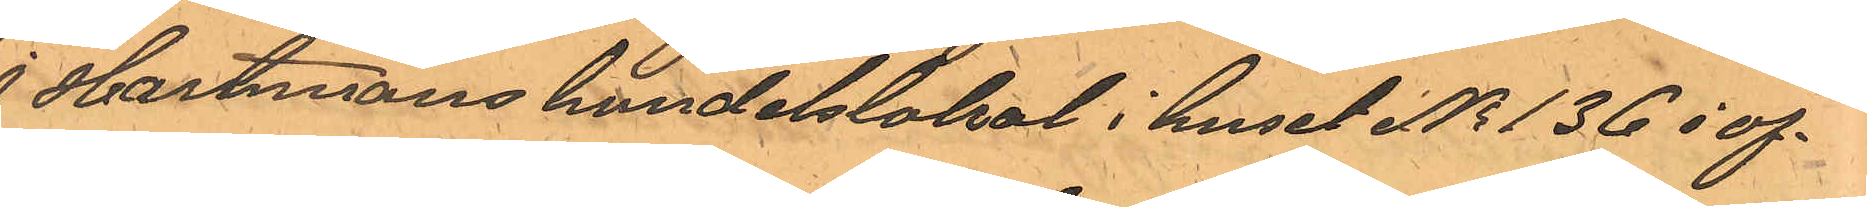J Hartmans handelslokal i huset No 136 i of¬
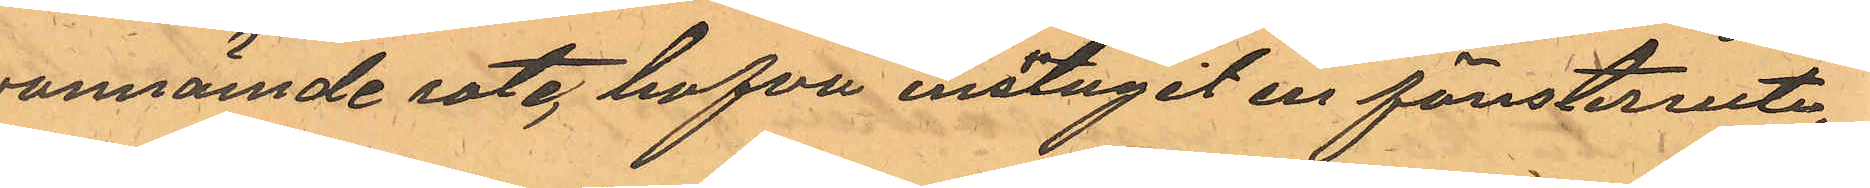vannämde rote, hafva inslagit en fönsterruta,
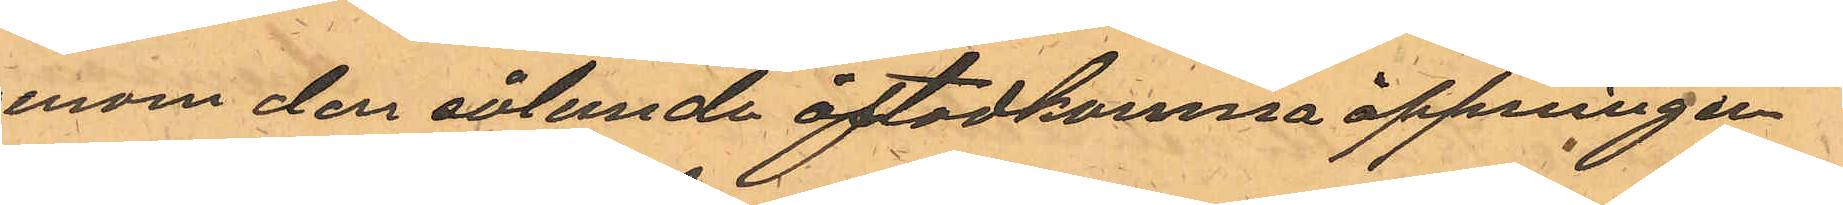genom den sålunda åstadkomna öppningen
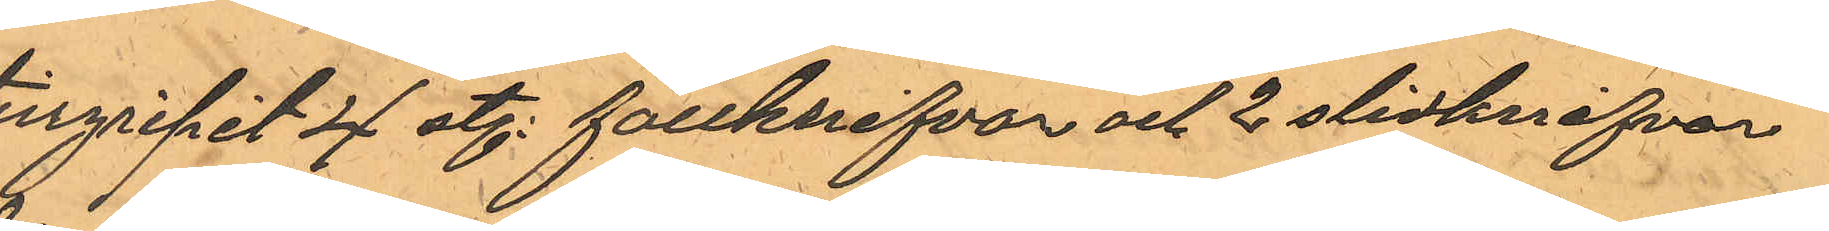tillgripit 4 st. fällknifvar och 2 slidknifvar
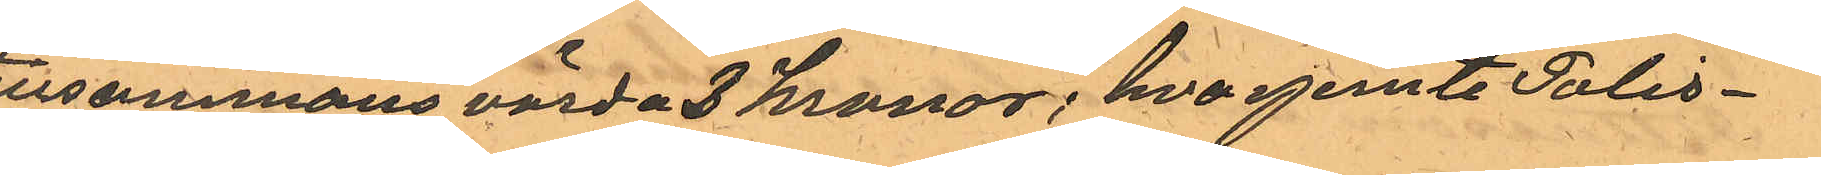tillsammans värda 3 kronor; hvarjemte Polis¬
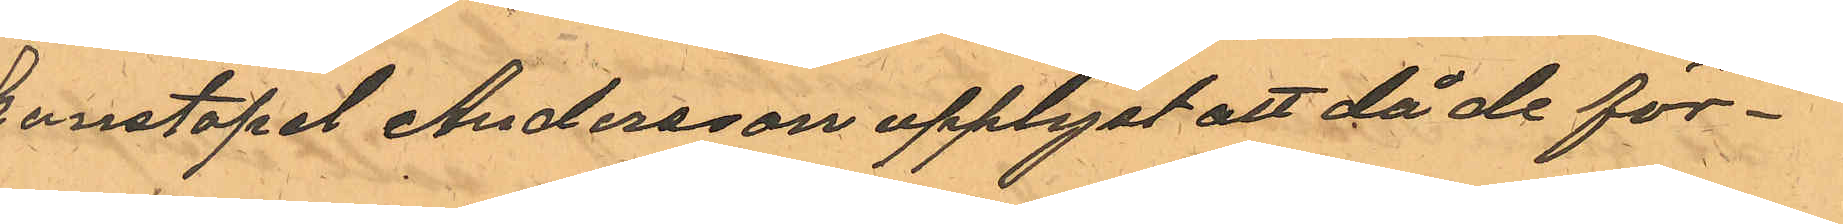konstapel Andersson upplyst att då de för¬
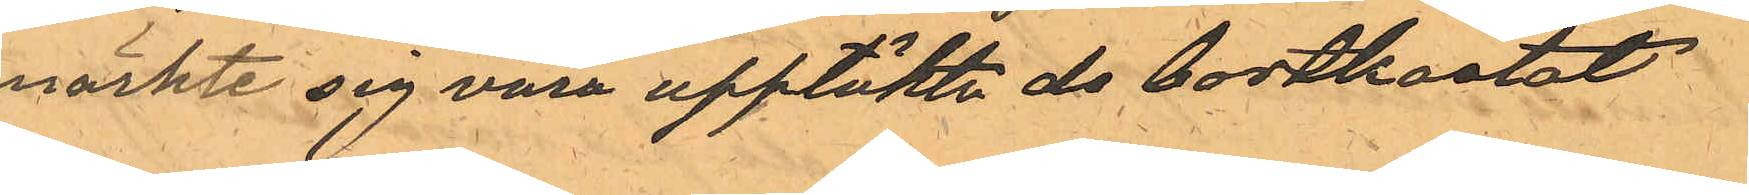märkte sig vara upptäkta de bortkastat
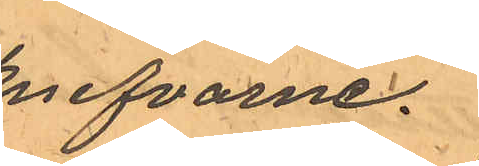knifvarne.
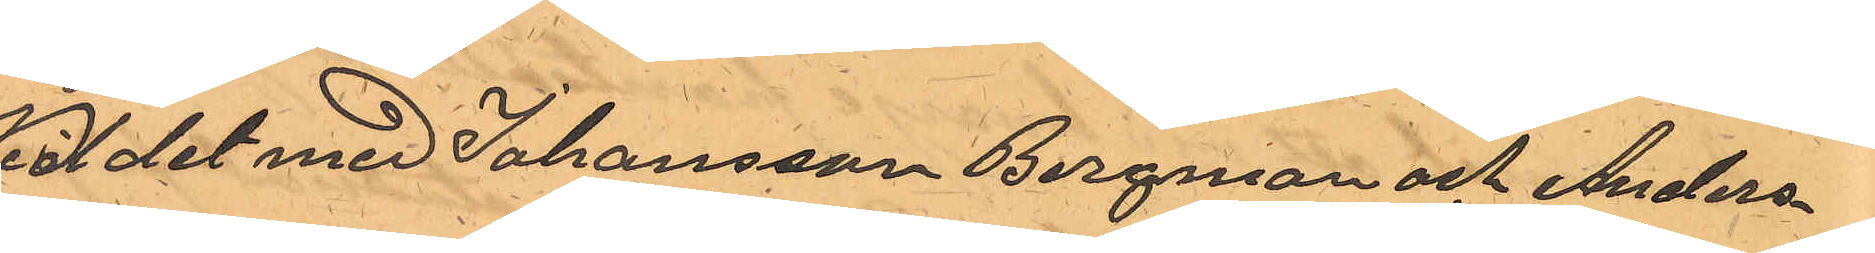Vid det med Johansson Bergman och Anders¬
